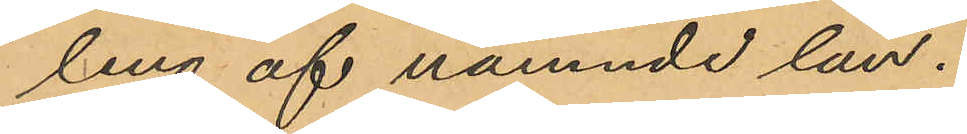ling af nämnde län.
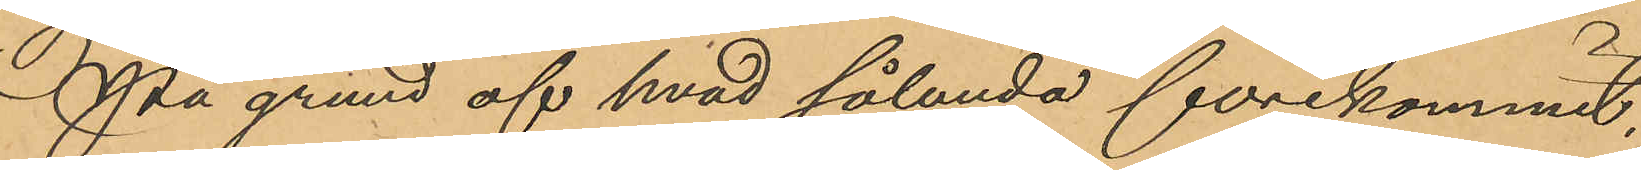På grund af hvad sålunda förekommit,
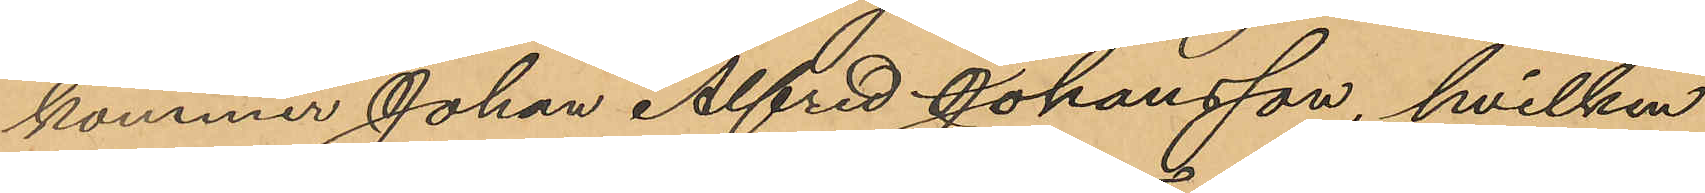kommer Johan Alfred Johansson, hvilken
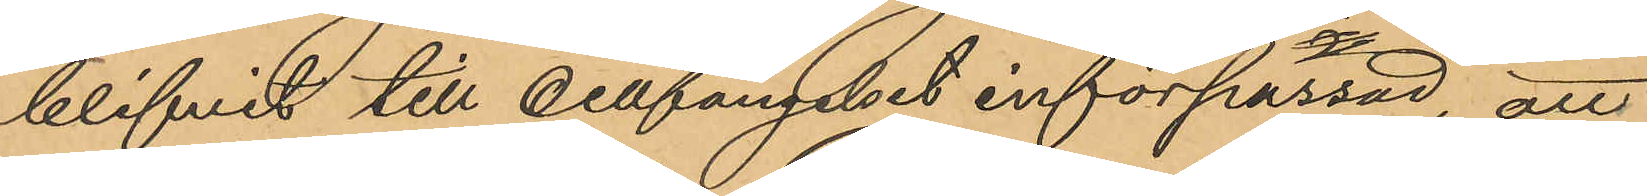blifvit till cellfängelset införpassad, att
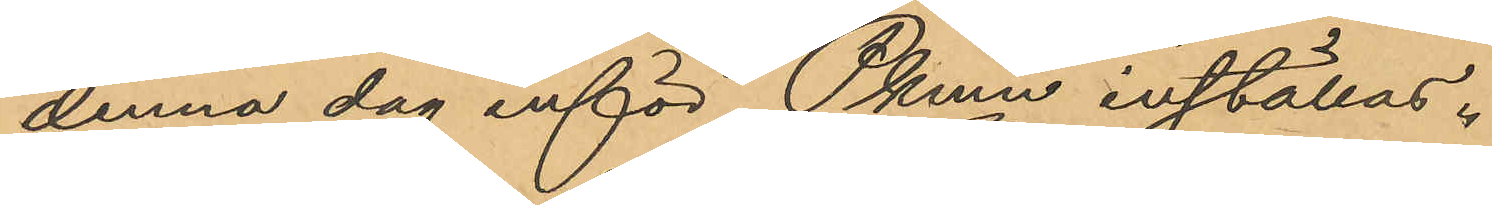denna dag inför Pkmn inställas.
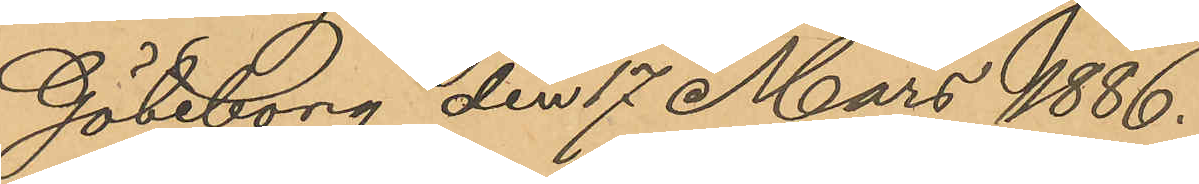Göteborg den 17 Mars 1886.
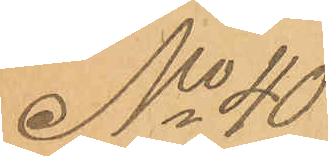No 40
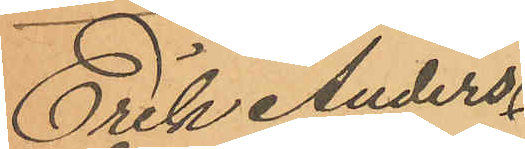Erik Anders¬
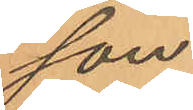son
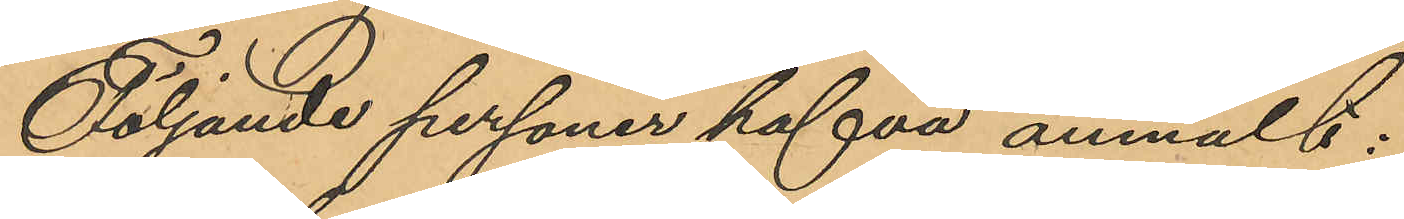Följande personer hafva anmält:
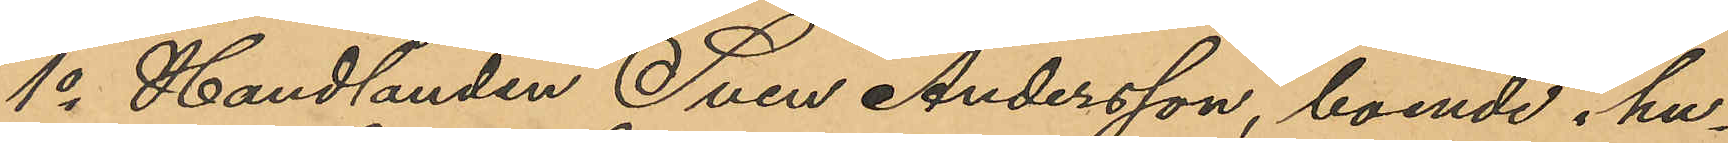1o Handlanden Sven Andersson, boende i hu¬
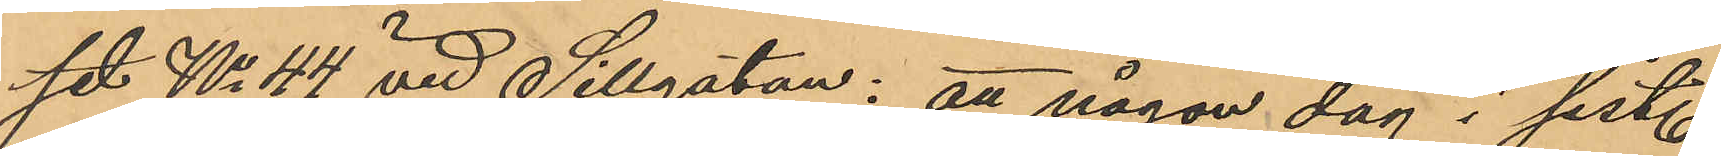set No 44 vid Sillgatan: att någon dag i sist.
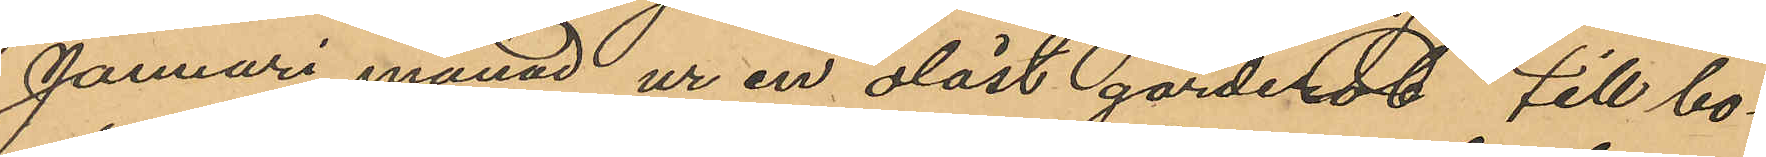Januari månad ur en olåst garderob till bo¬
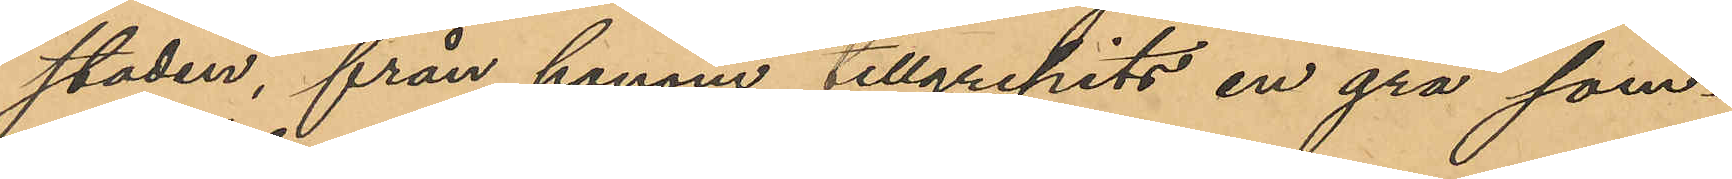staden, från honom tillgripits en grå som¬
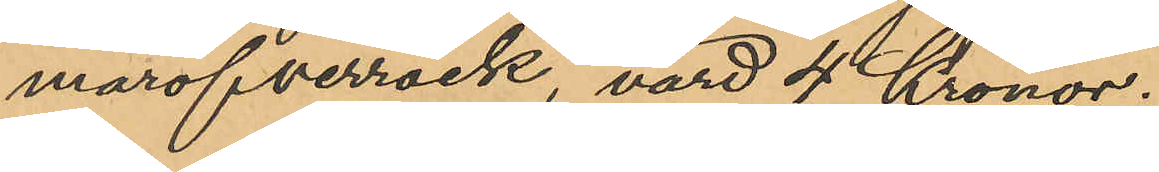maröfverrock, värd 4 Kronor;
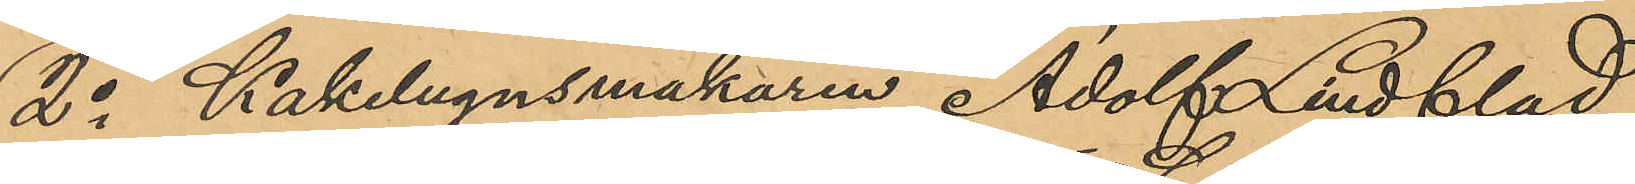2o Kakelugnsmakaren Adolf Lindblad,
